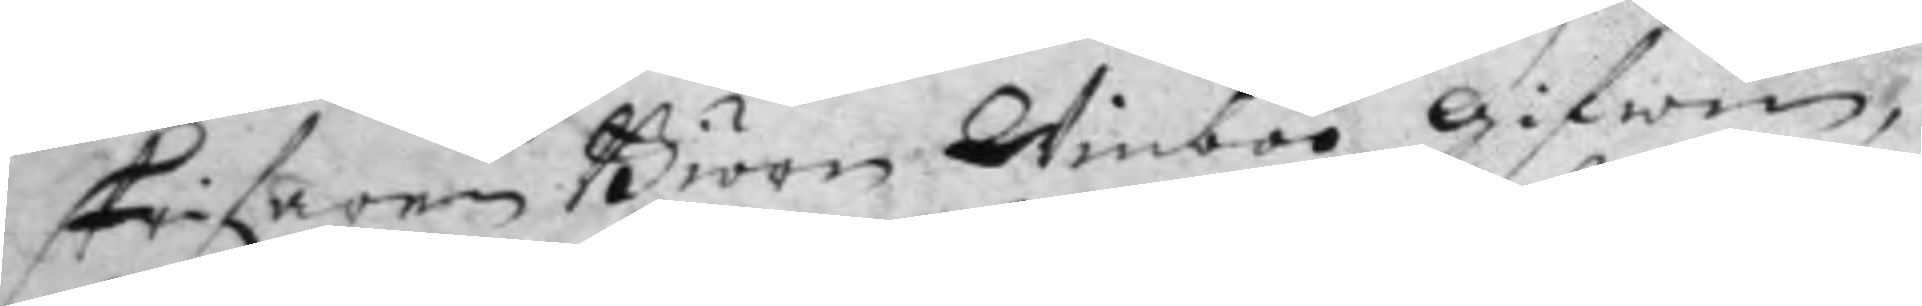skrifaren Biörn Winboo Gifwen,
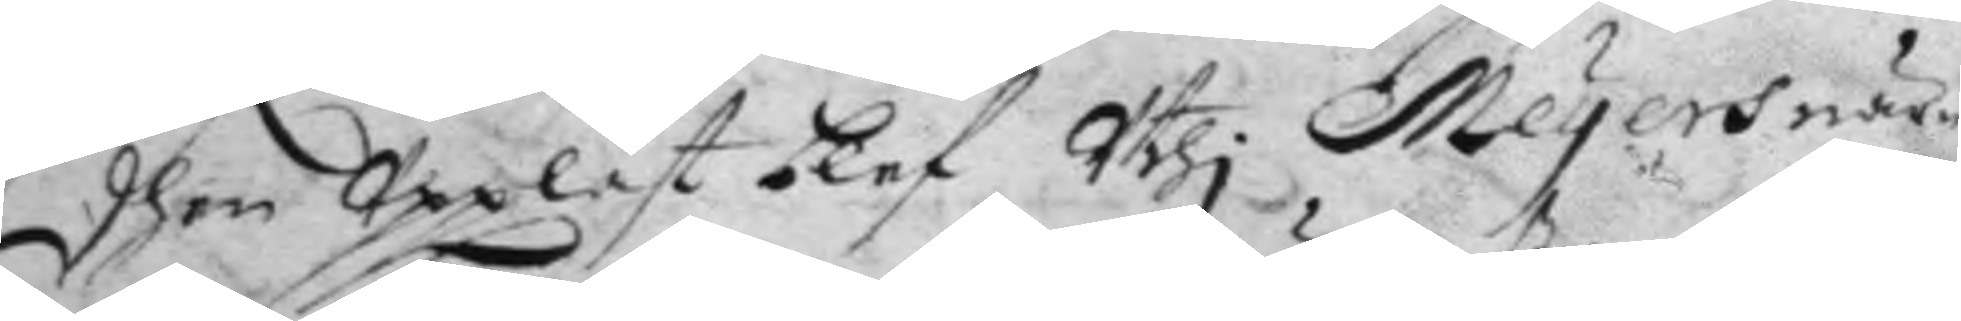dhen Uppläst blef Uthi Meyers när¬
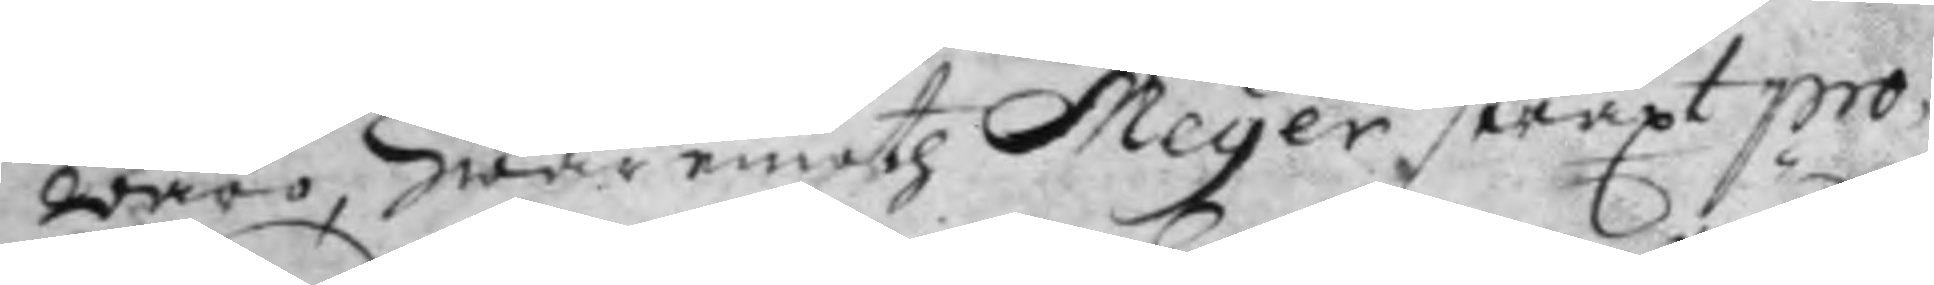waro, hwaremoth Meyer straxt pro¬
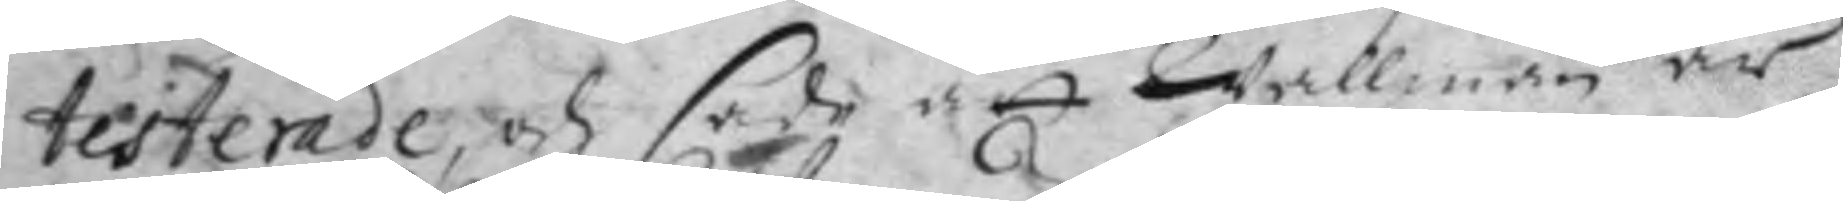testerade, och sade att Wallman är
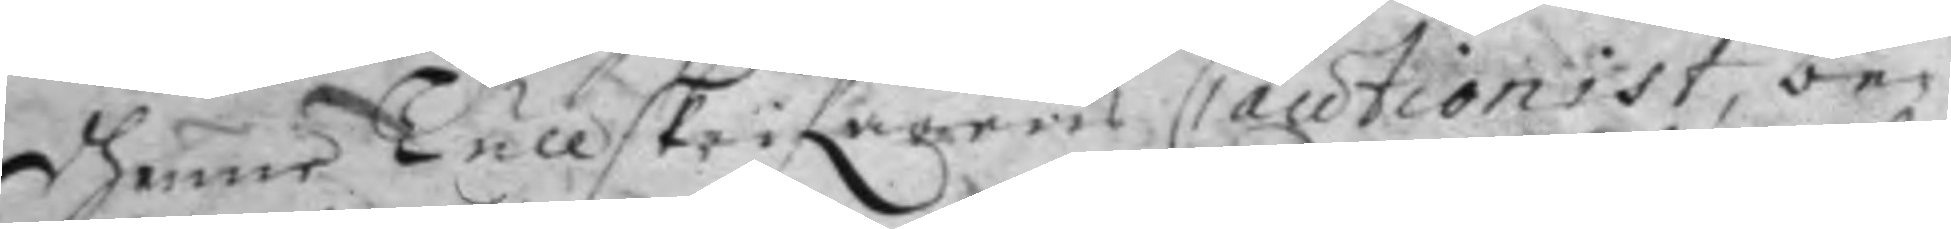dhenne Tullskrifares Cautionist, be¬
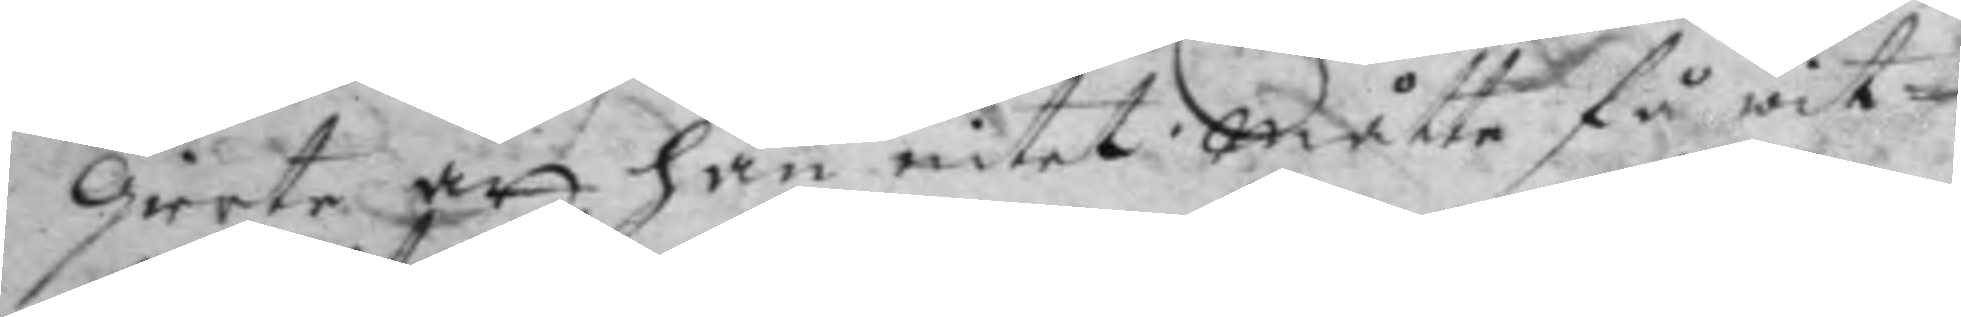gierte att han intet måtte få wit¬
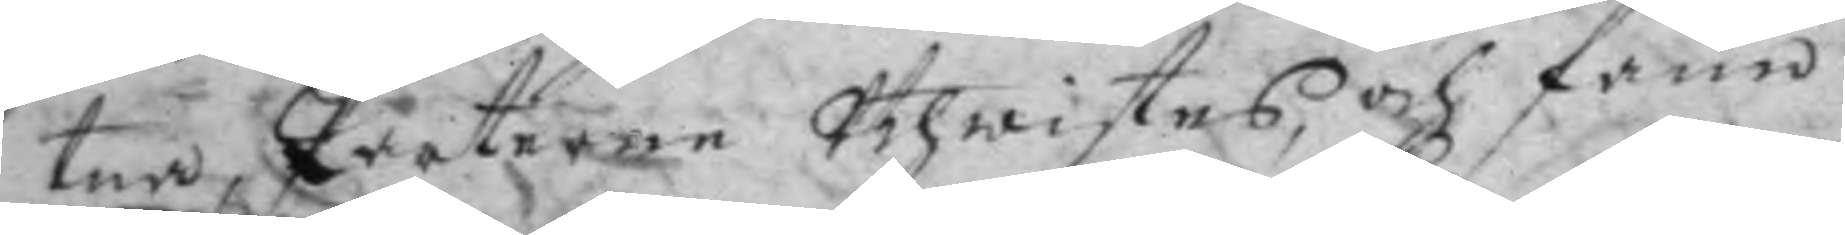tna, Parterne Uthwistes och fann
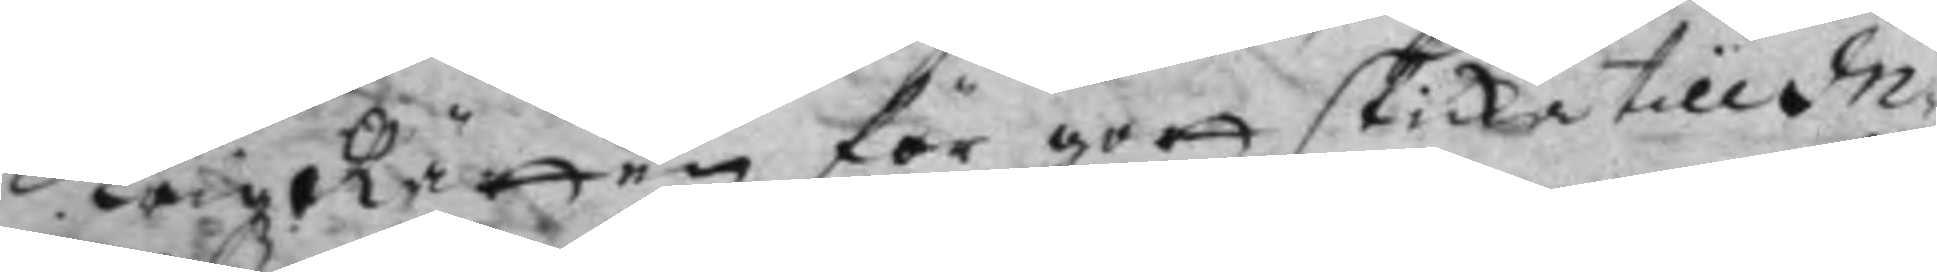Krigz Rätten för gott skicka till In¬
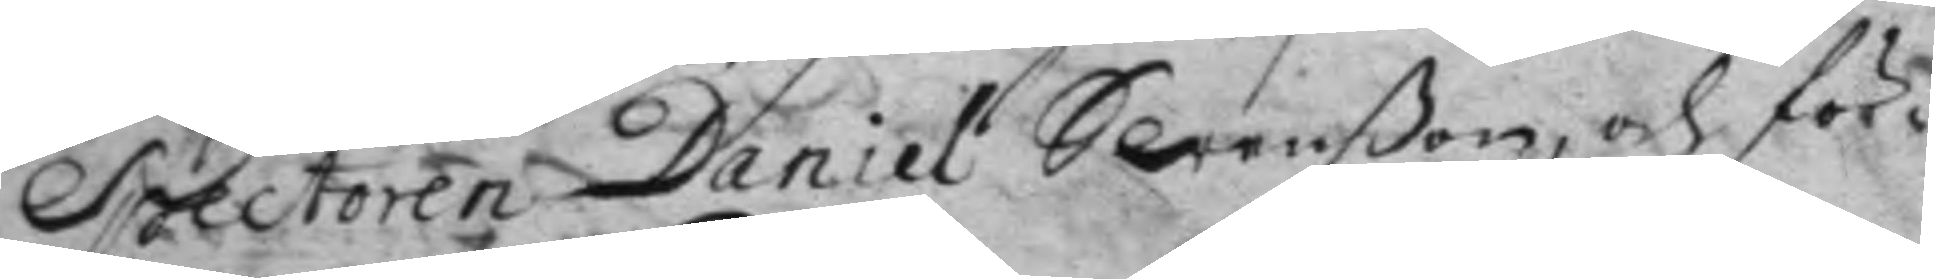Spectoren Daniel Swenßon, och för¬
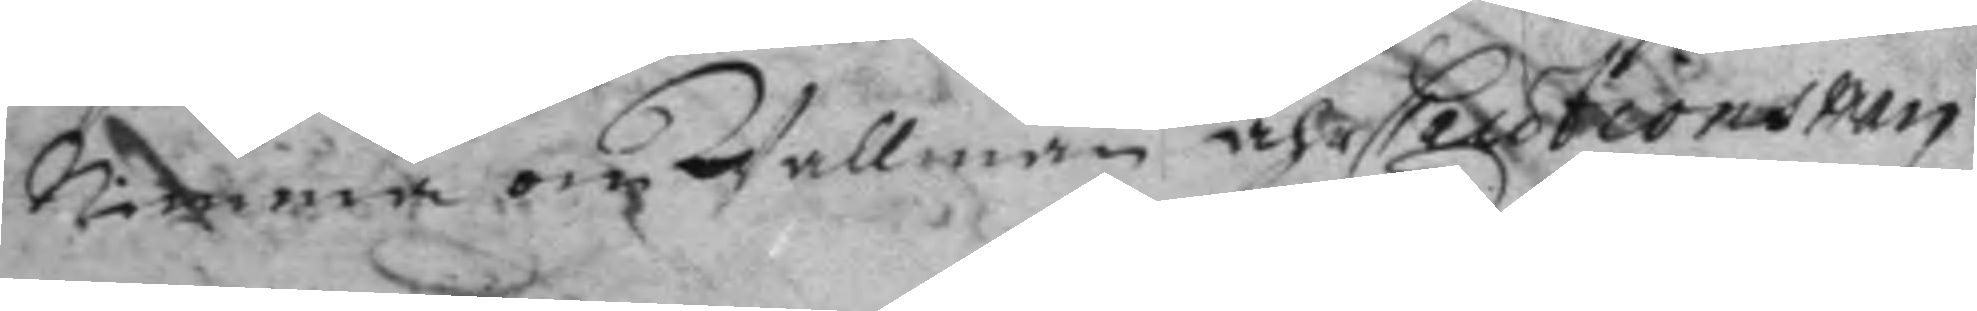nimma om Wallman ähr Cautionsman
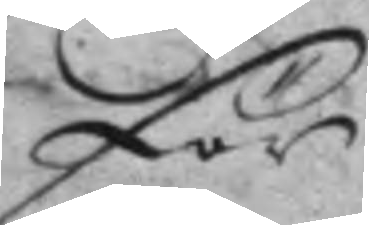för
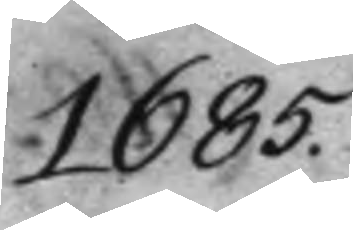1685.
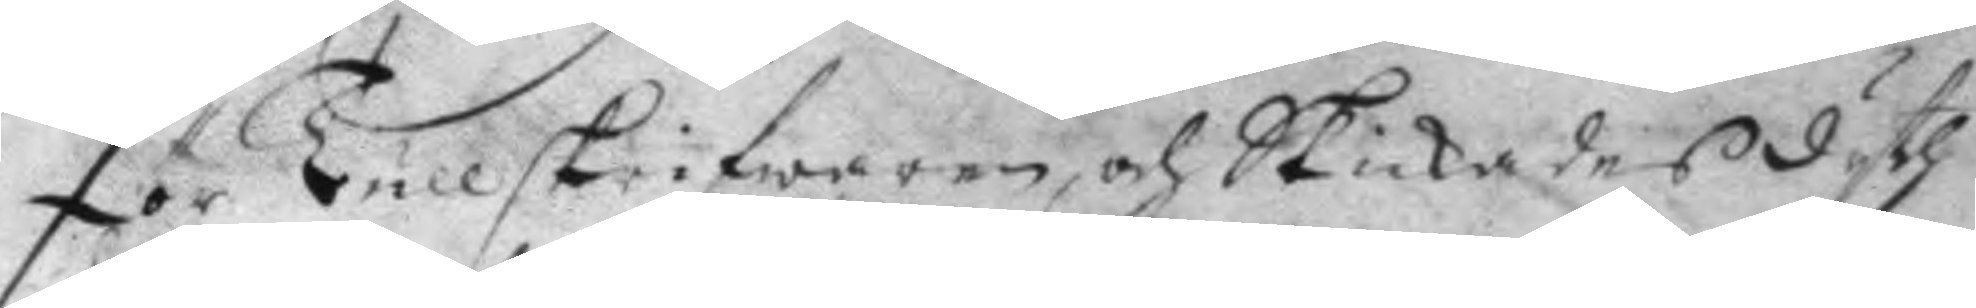för Tullskrifwaren, och Skickades dyth
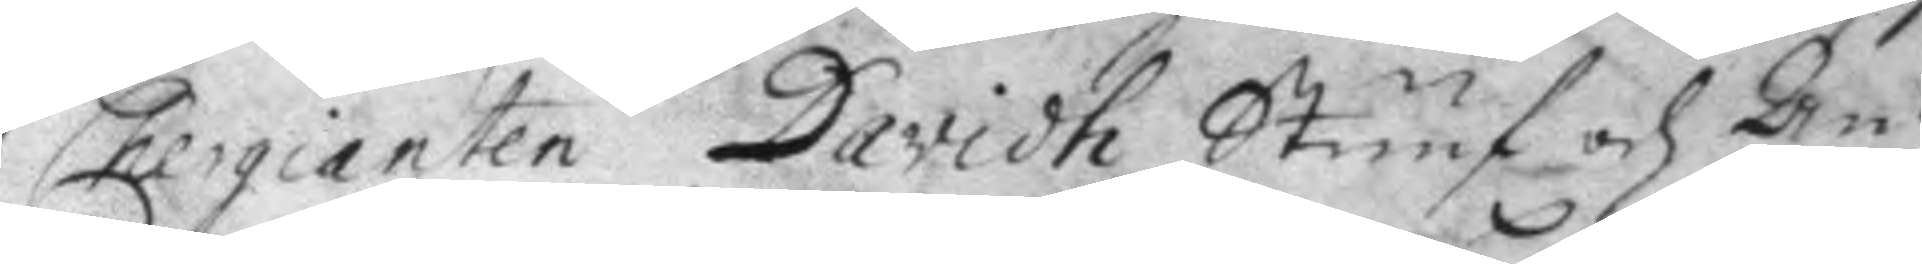Chergianten Davidh Stuuf och An¬
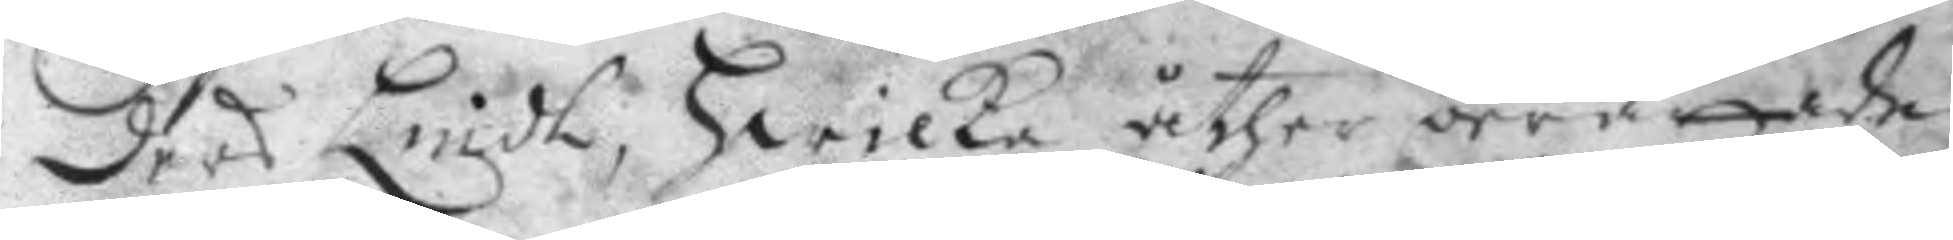ders Lindh, hwilka åther berättade
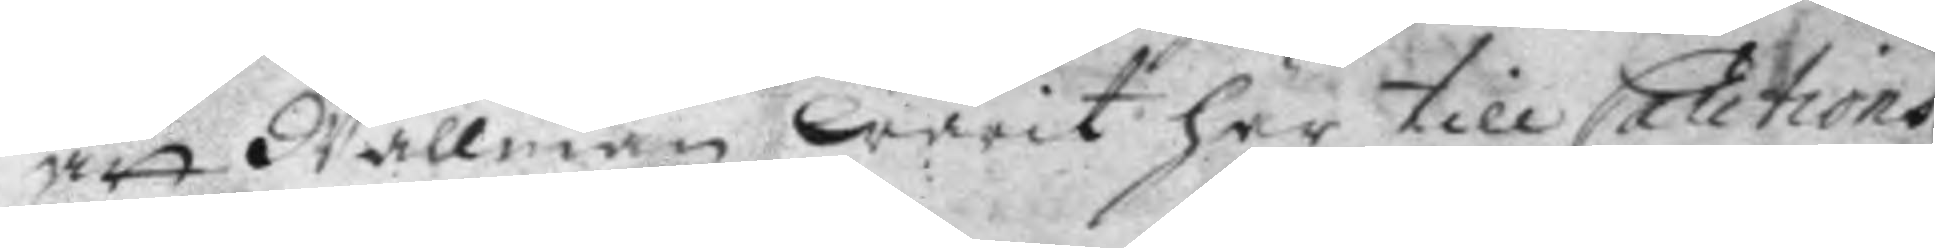att Wallman warit här till Cautions
